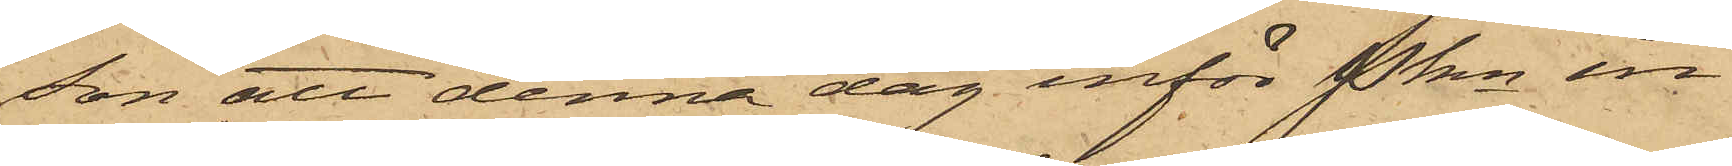son att denna dag inför Pkn in¬
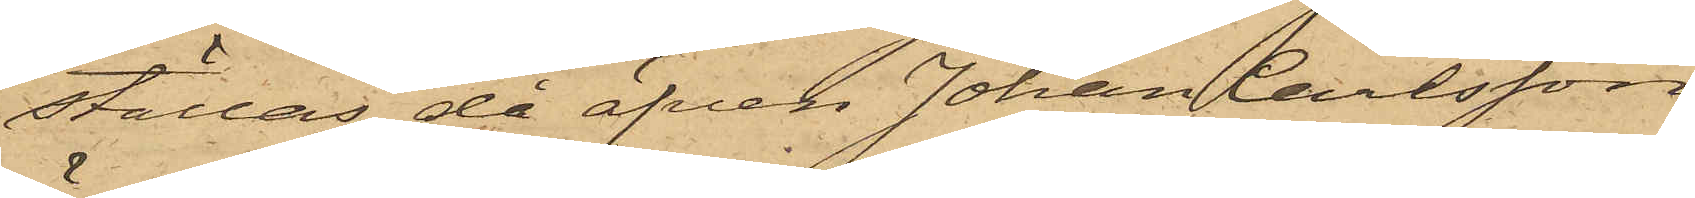ställas, då äfven Johan Carlsson
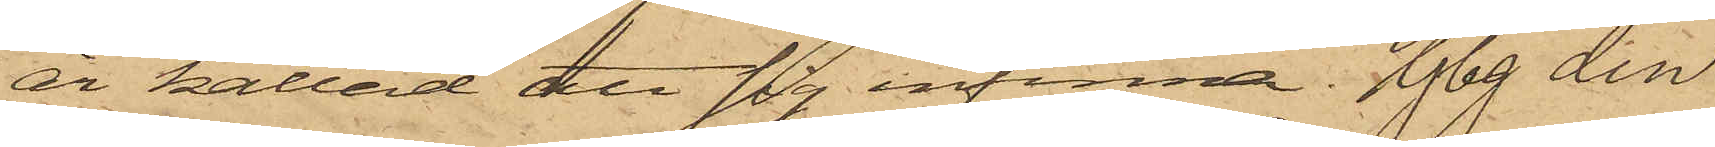är kallad att sig infinna. Gbg den
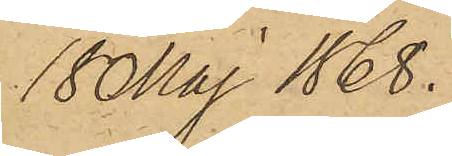18 Maj 1868.
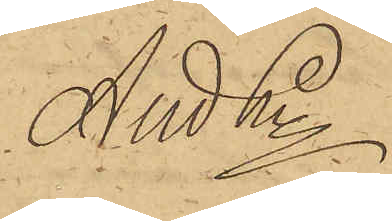And Ln
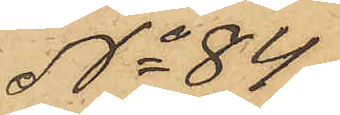No 84.
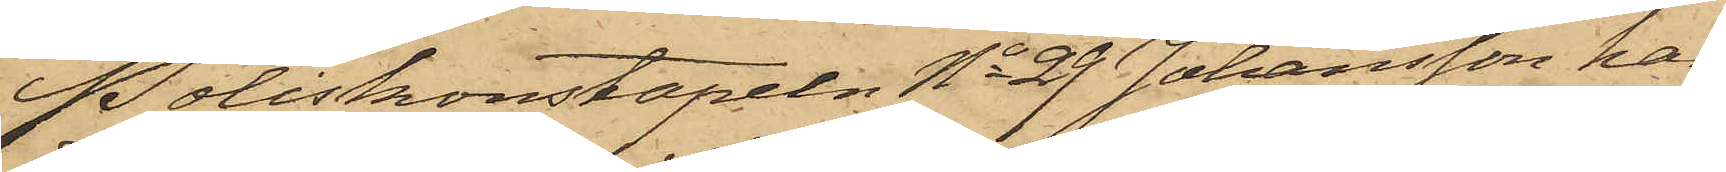Poliskonstapeln No 29 Johansson har
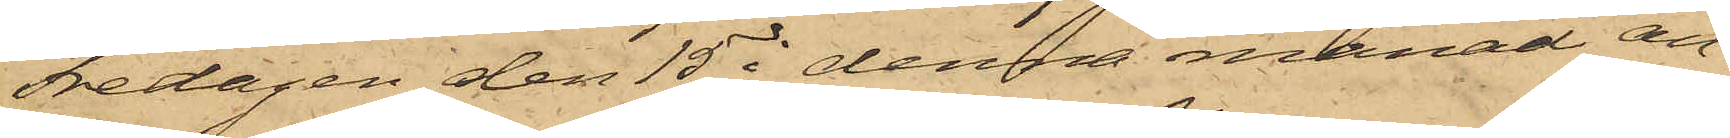Fredagen den 15 i denna månad an¬
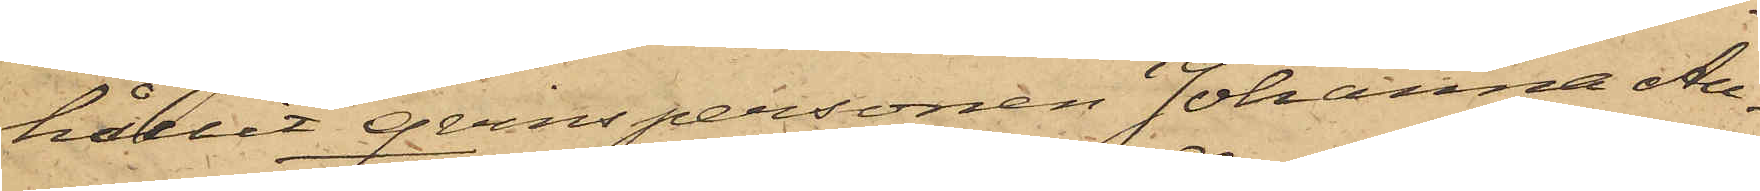hållit qvinspersonen Johanna Au¬
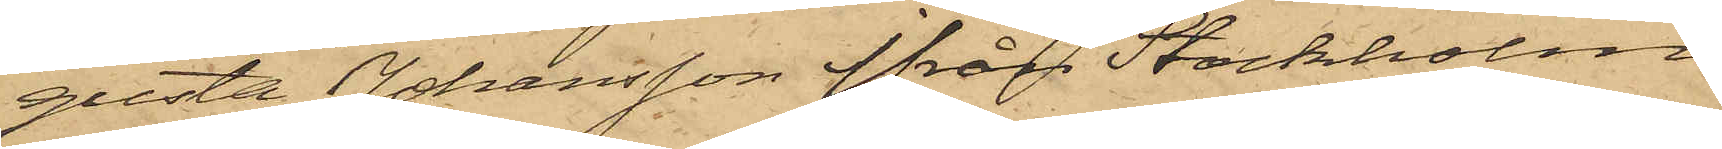gusta Johansson från Stockholm,
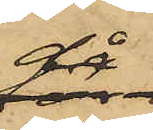då
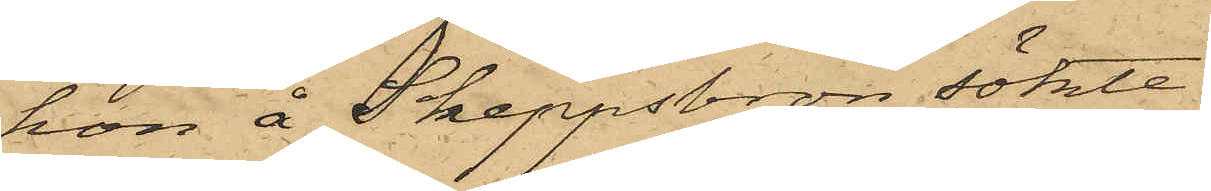hon å Skeppsbron sökte
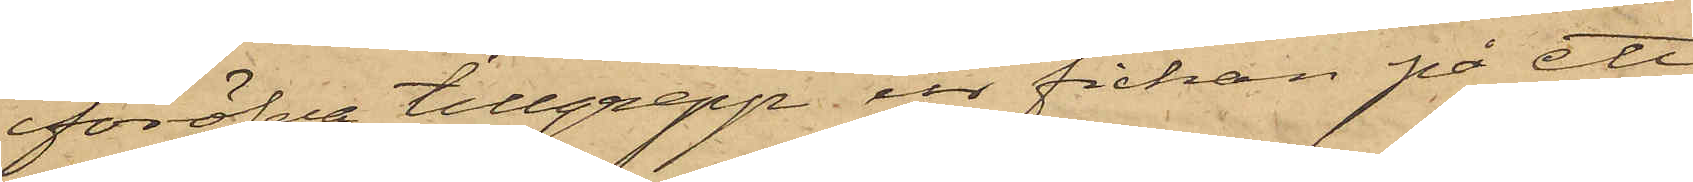föröfva tillgrepp ur fickan på ett
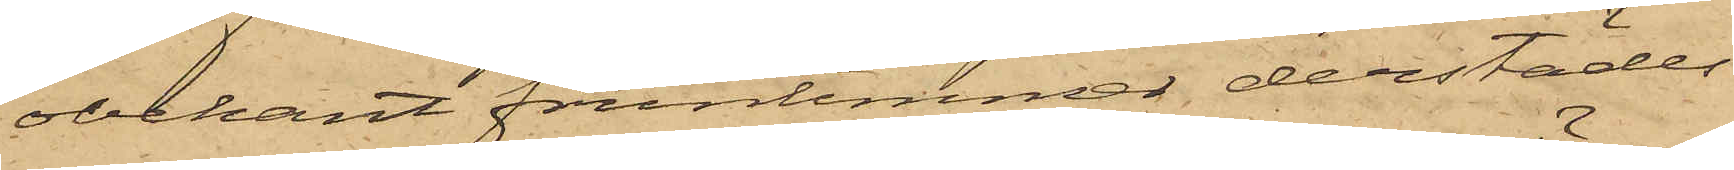obekant fruntimmer derstädes
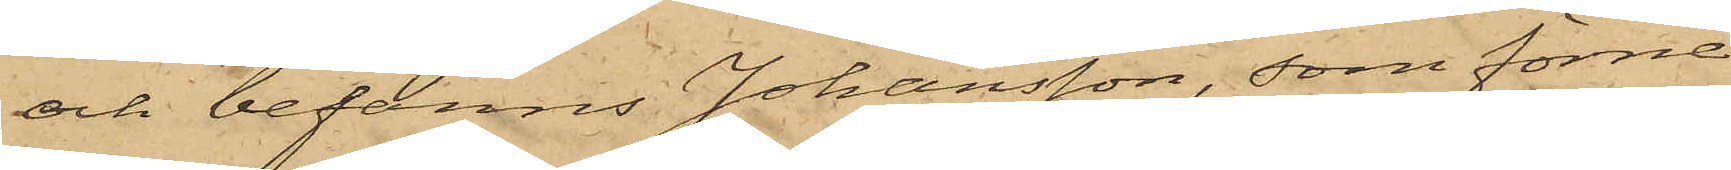och befanns Johansson, som förne¬
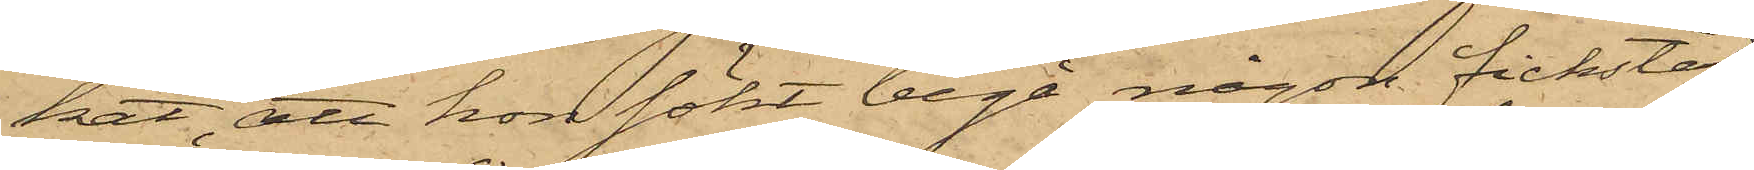kat, att hon sökt begå någon fickstöld,
